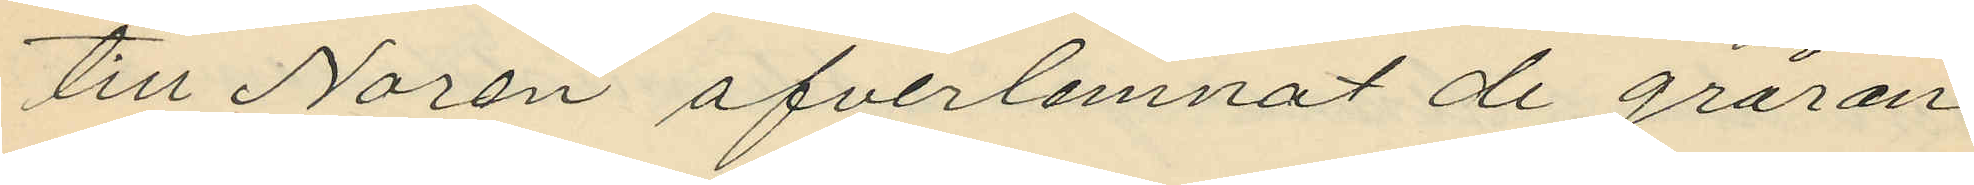till Norén ofverlemnat de gråran¬
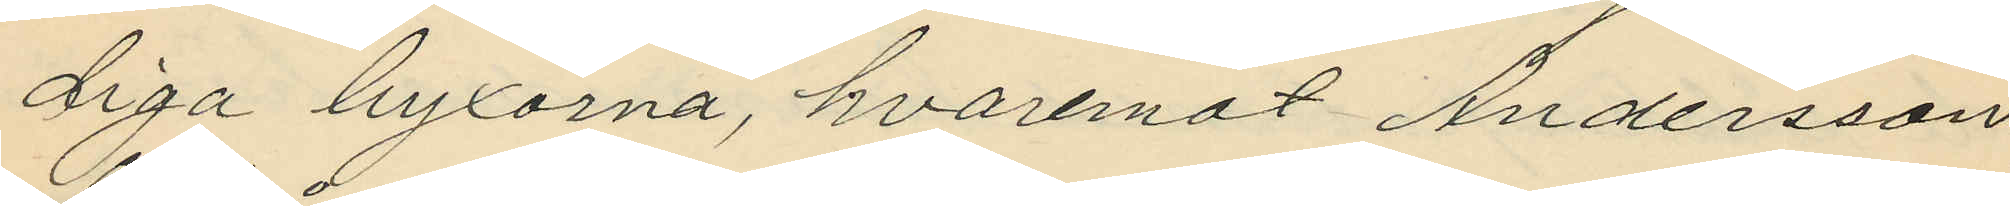diga byxorna, hvaremot Andersson
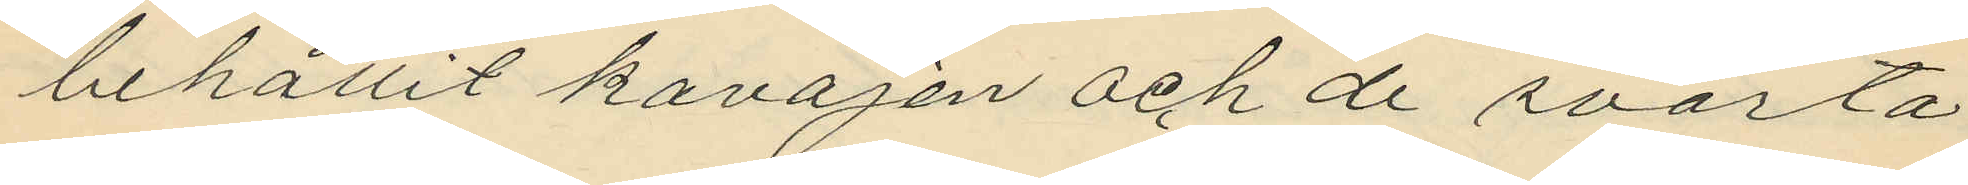behållit kavajen och de svarta
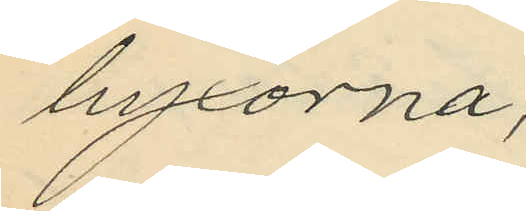byxorna;
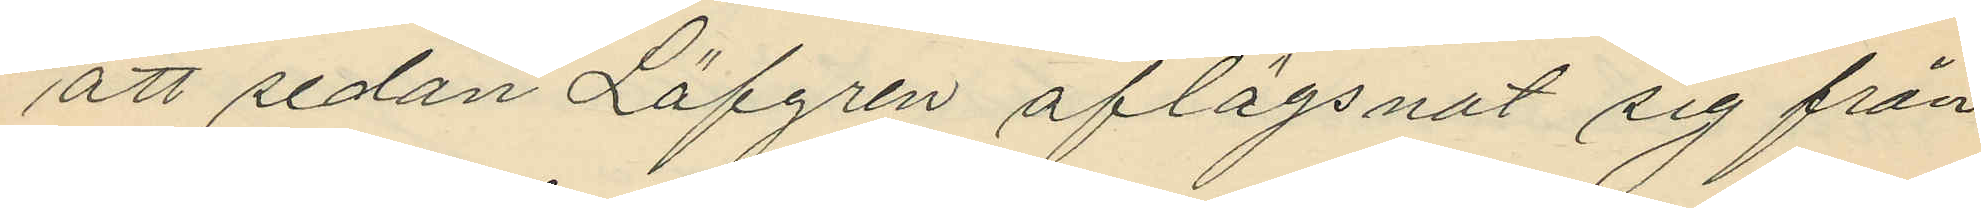att sedan Löfgren aflägsnat sig från
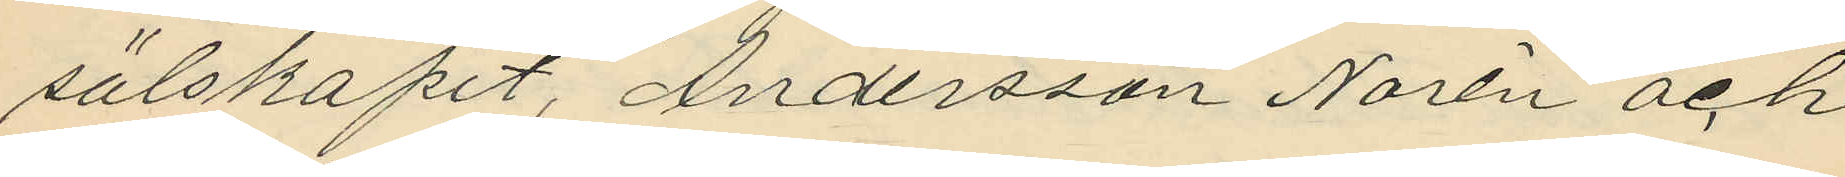sälskapet, Andersson Norén och
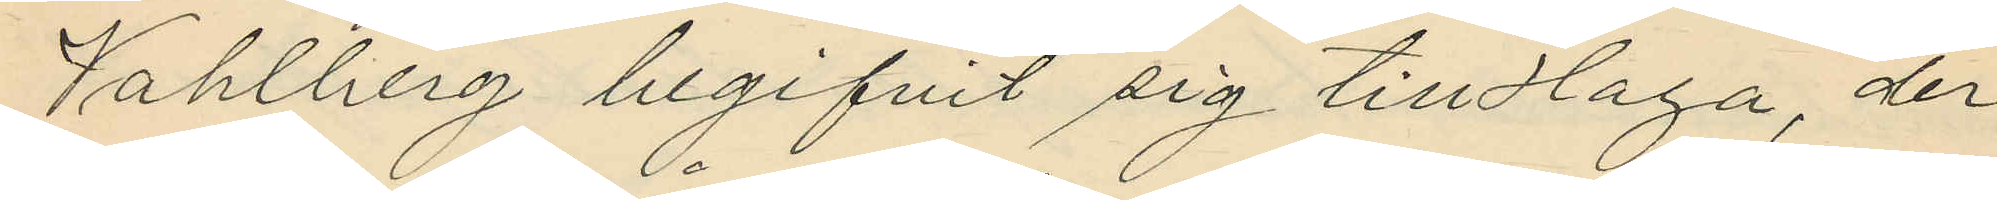Vahlberg begifvit sig till Haga, der
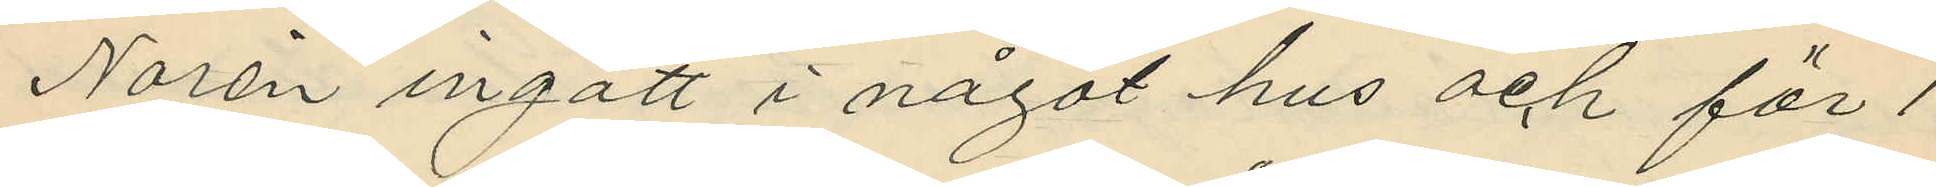Norén ingått i något hus och för 1
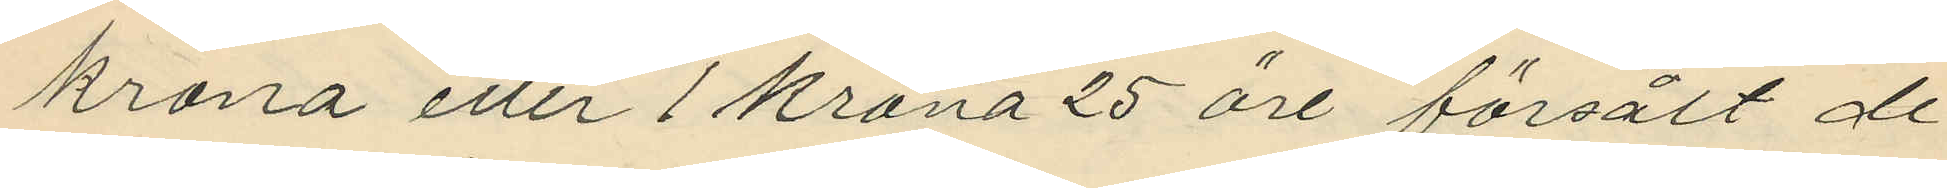krona eller 1 krona 25 öre försålt de
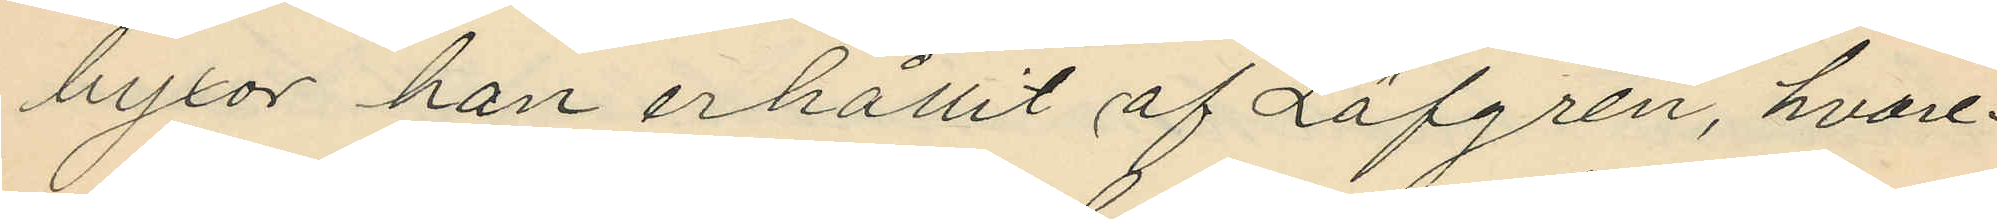byxor han erhållit af Löfgren, hvare¬
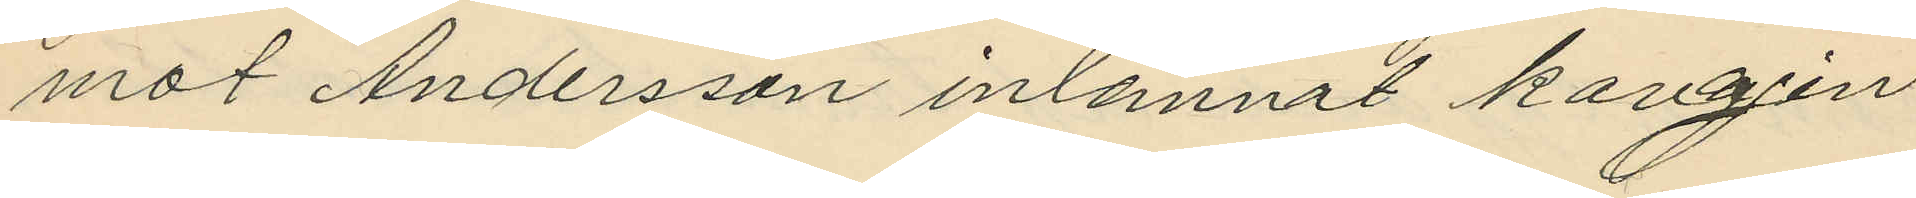mot Andersson inlemnat kavajen
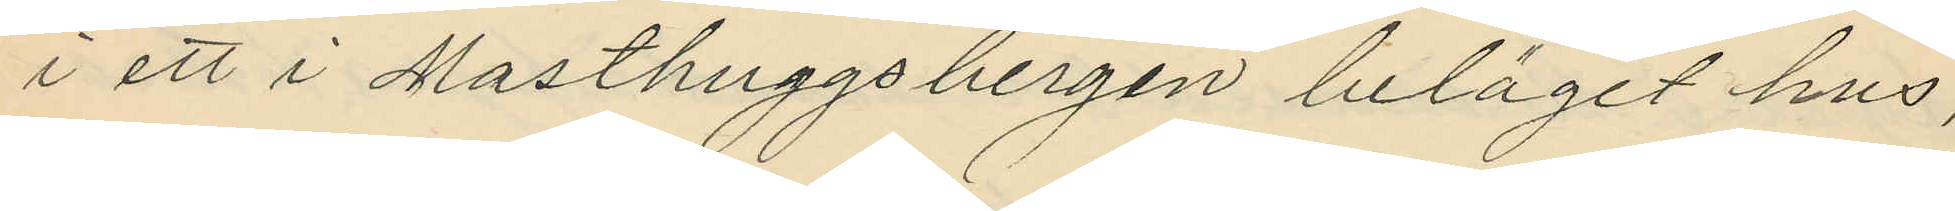i ett i Masthuggsbergen beläget hus,
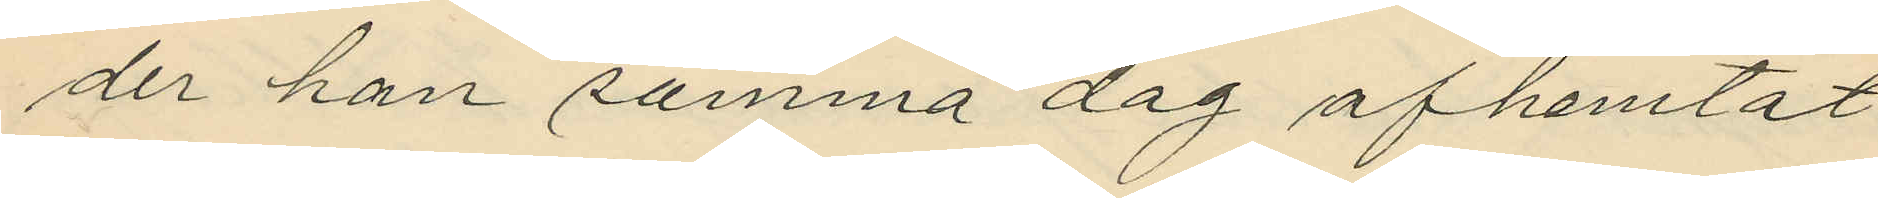der han samma dag afhemtat
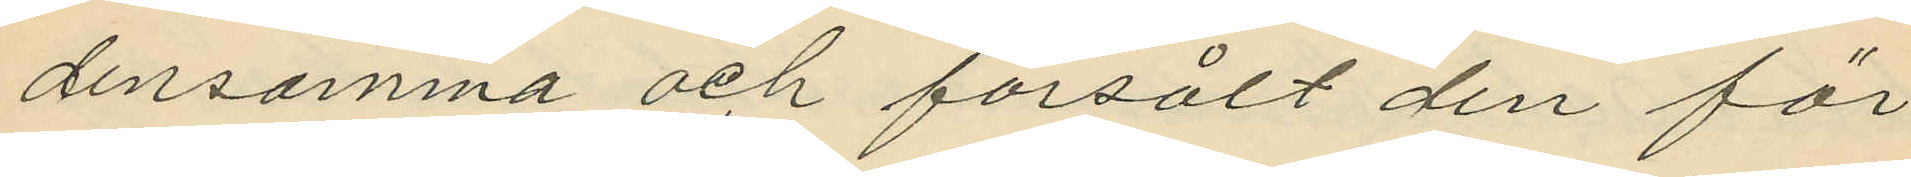densamma och försålt den för
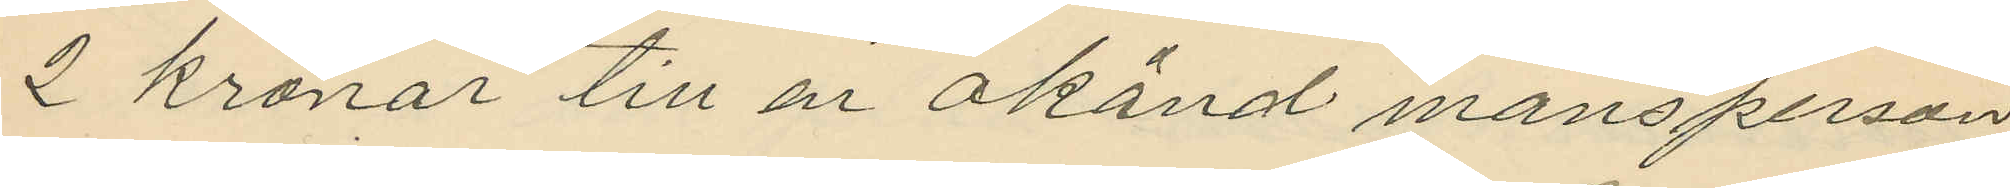2 kronor till en okänd mansperson
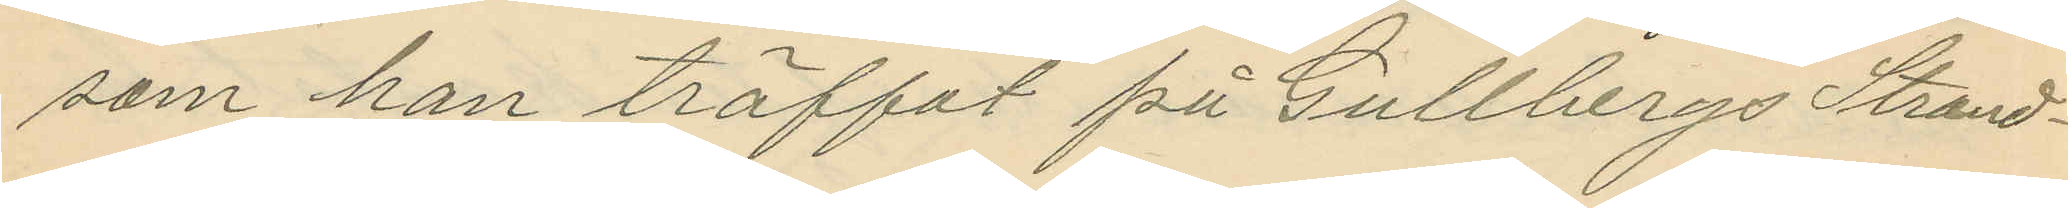som han träffat på Gullbergs Strand¬
